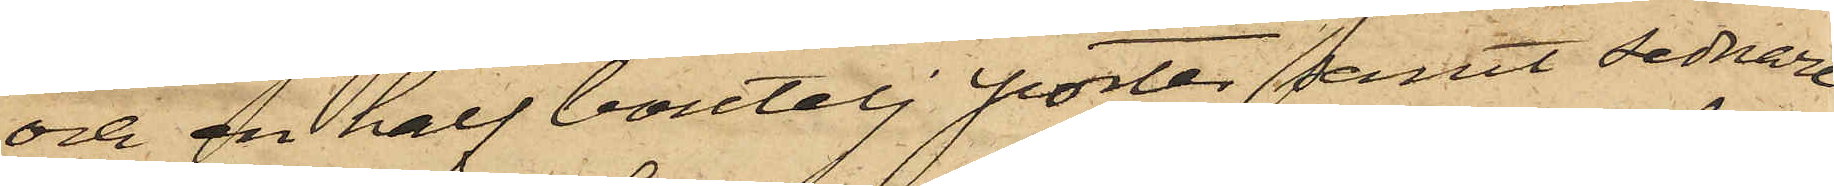och en half boutelj porter, samt sednare
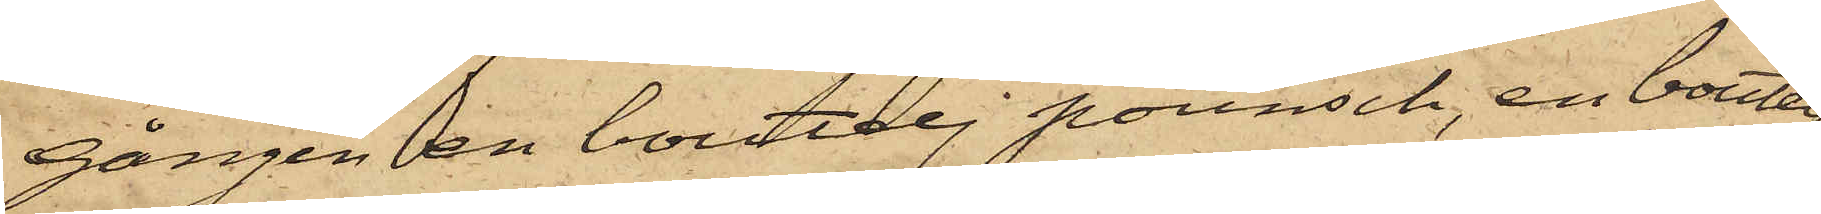gången en boutelj pounsch, en boutelj
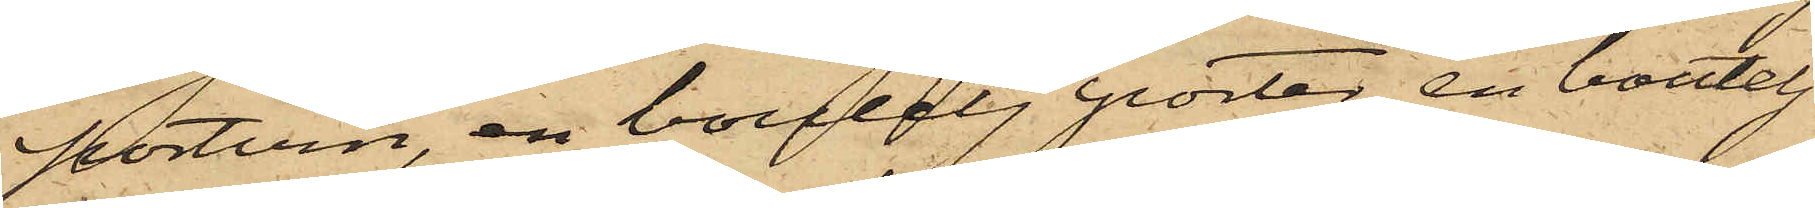portvin, en boutelj porter, en boutelj
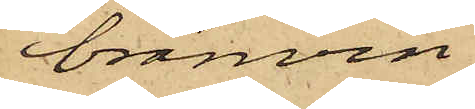bränvin
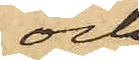och
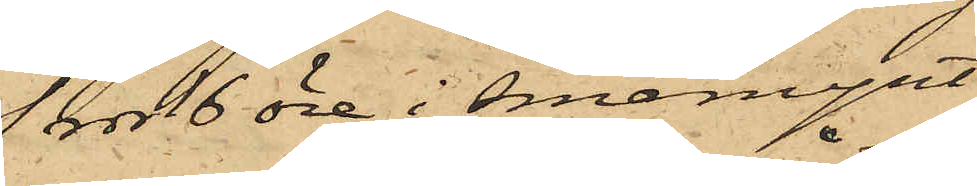1 rdr 16 öre i småmynt,
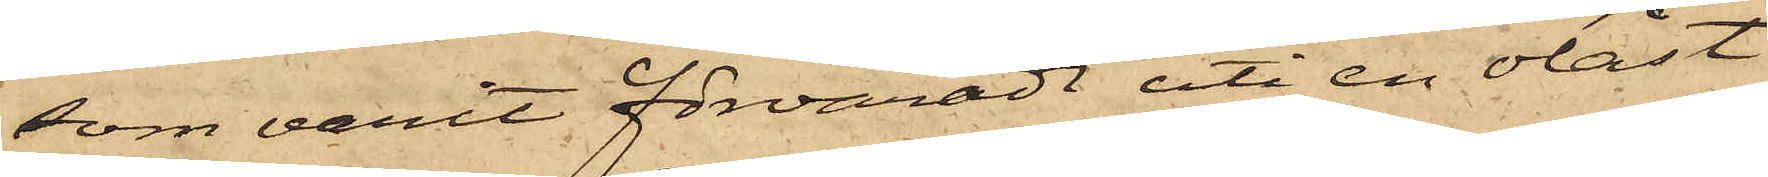som varit förvaradt uti en olåst
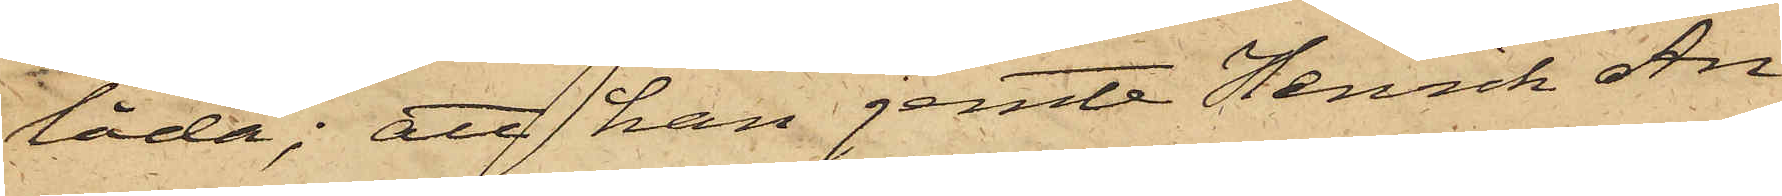låda; att han jemte Henrik An¬
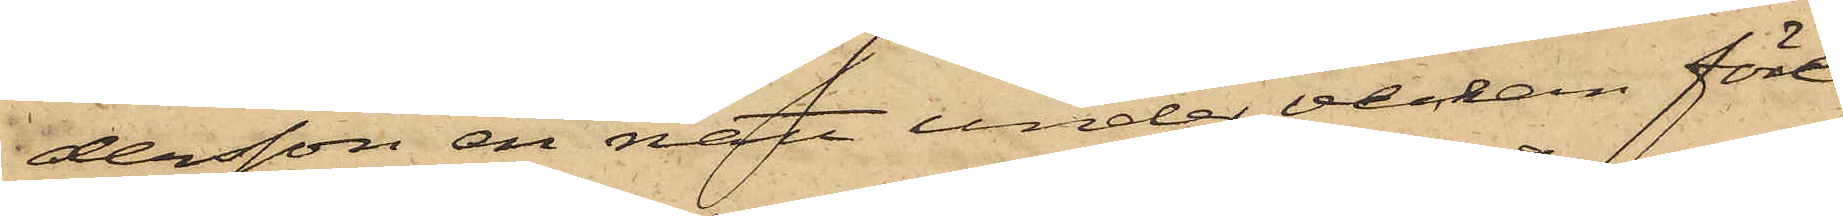dersson en natt under veckan före¬
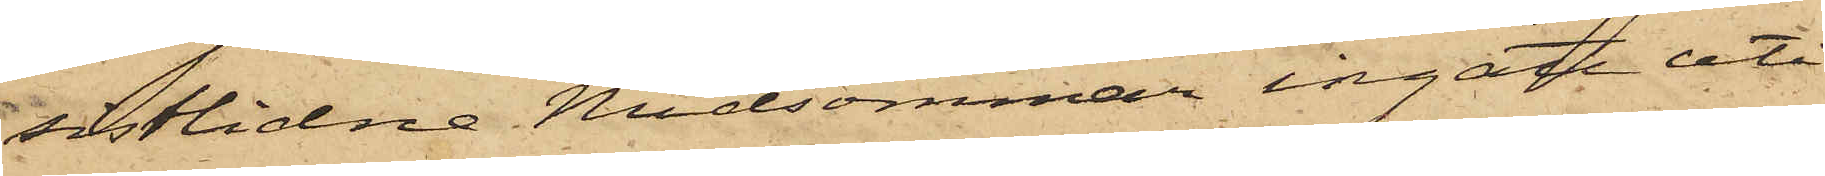sistlidne Midsommar ingått uti
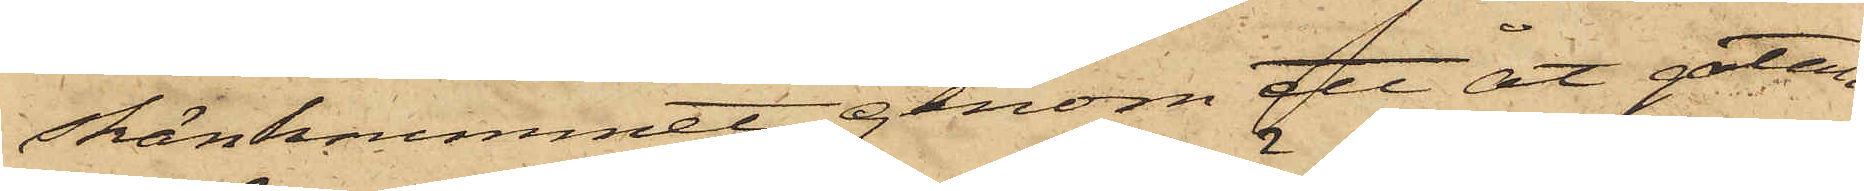skänkrummet genom att åt gatan
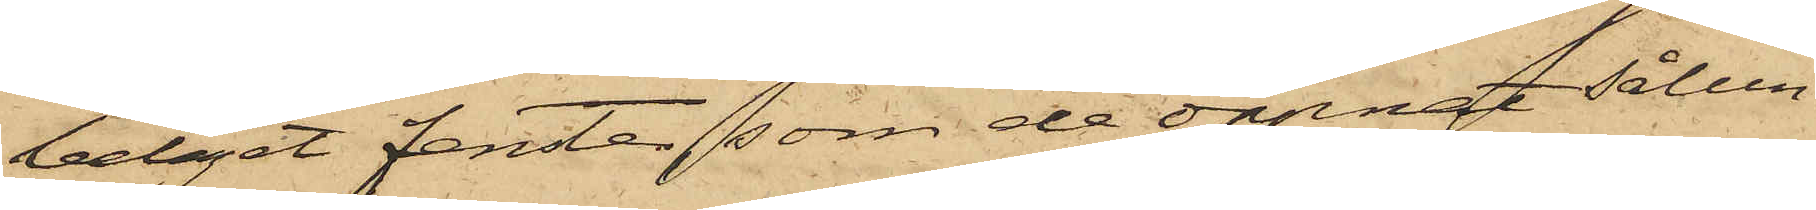beläget fenster, som de öppnat sålun¬
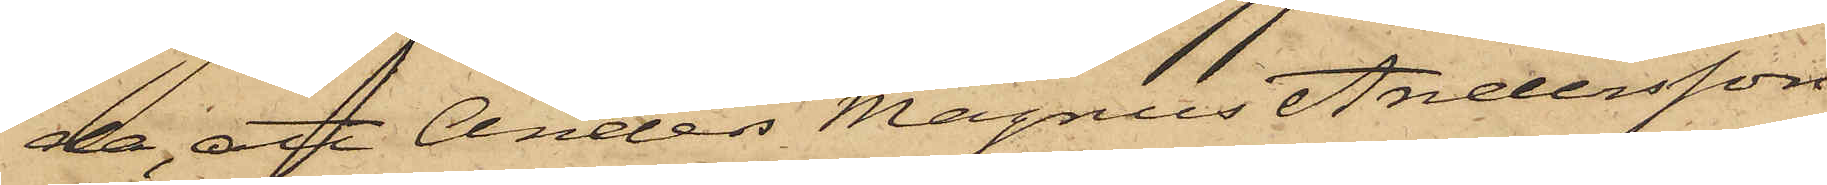da, att Anders Magnus Andersson
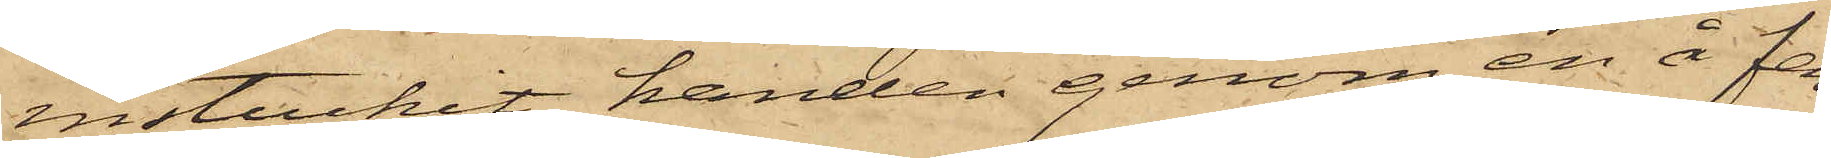instuckit handen genom en å fen¬
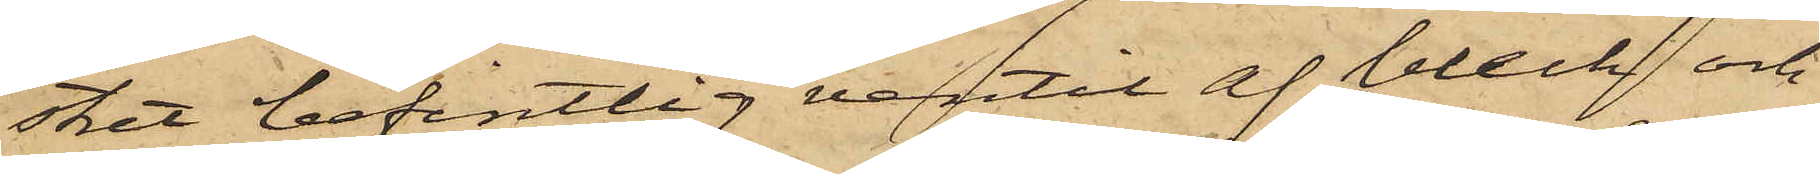stret befintlig ventil af bleck och
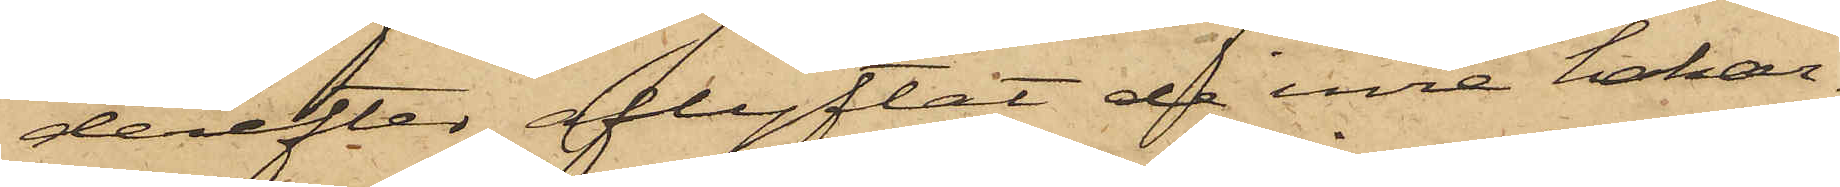derefter aflyftat de inre hakar¬
